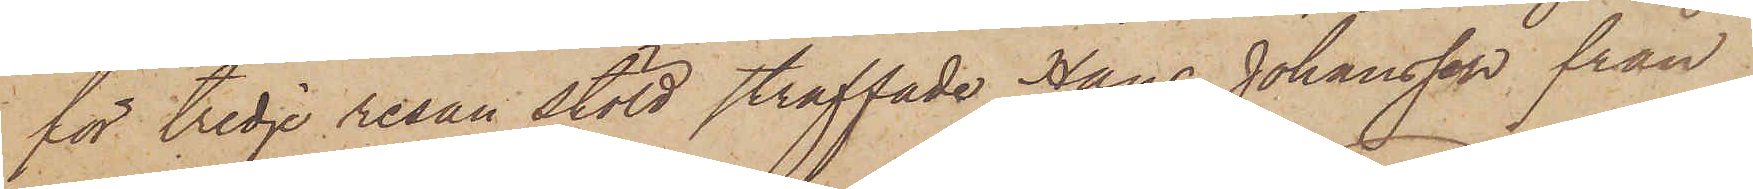för tredje resan stöld straffade Hans Johansson från
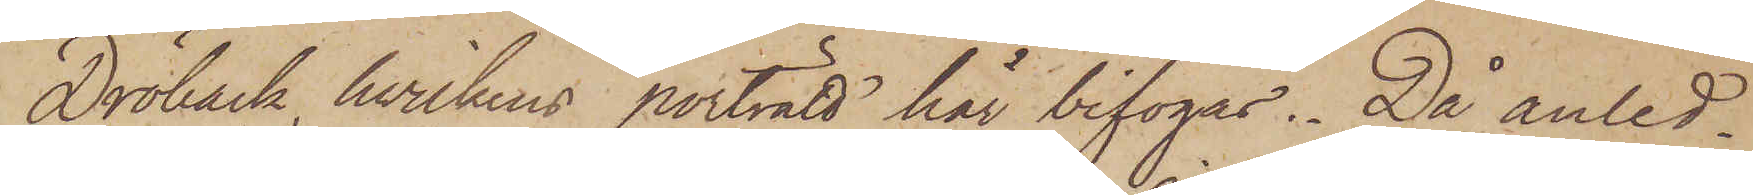Dröback, hvilkens porträtt här bifogas. Då anled¬
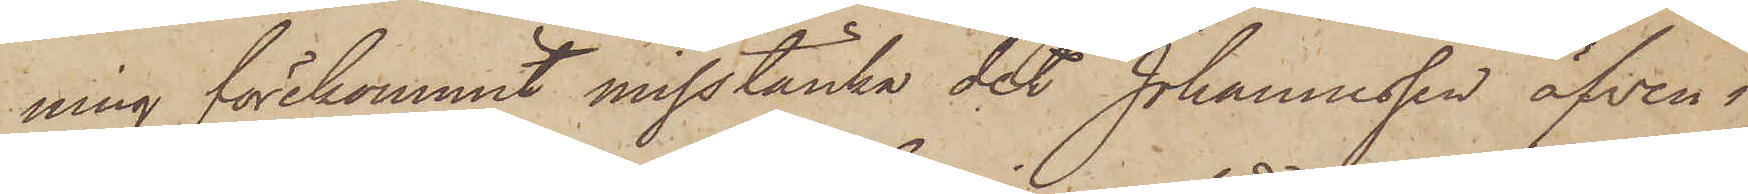ning förekommit misstänka det Johannesson äfven i
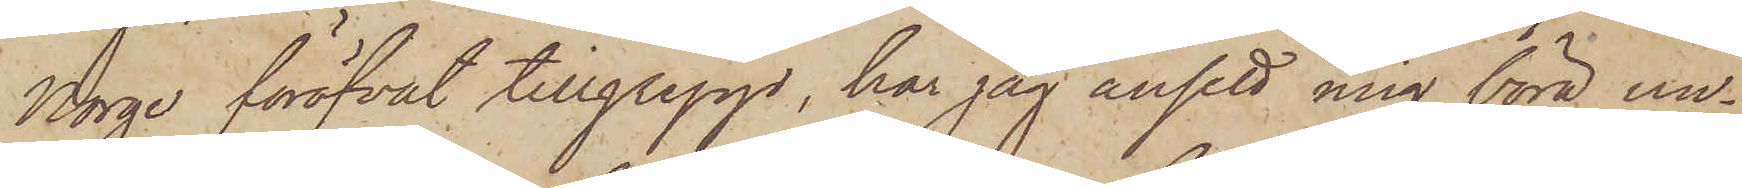Norge föröfvat tillgrepp, har jag ansett mig böra un¬
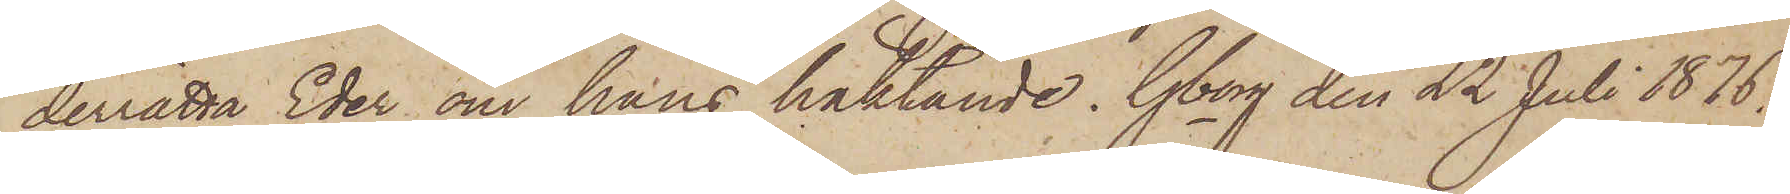derrätta Eder om hans häktande. Gborg den 22 Juli 1876.
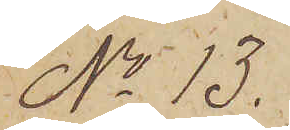No 13.
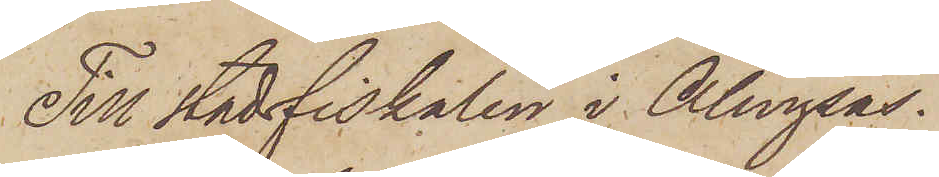Till stadsfiskalen i Alingsås.
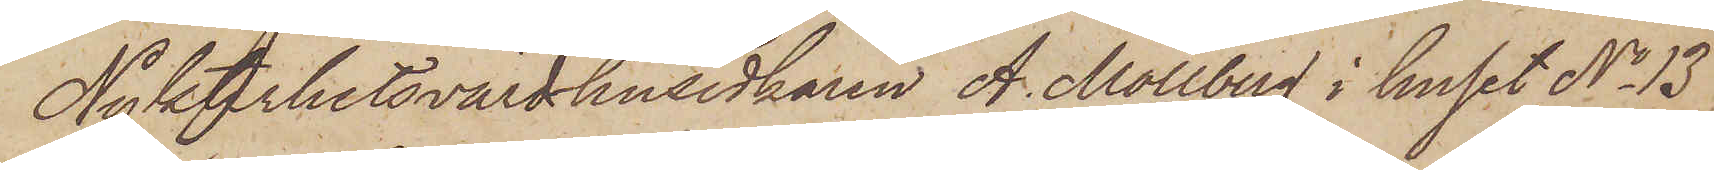Nykterhetsvärdshusidkaren A. Mollberg i huset No 13
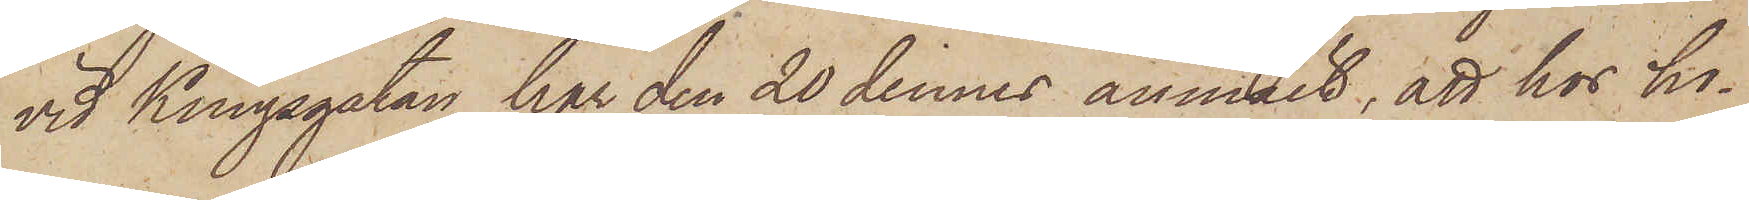vid Kungsgatan har den 20 dennes anmält, att hos ho¬
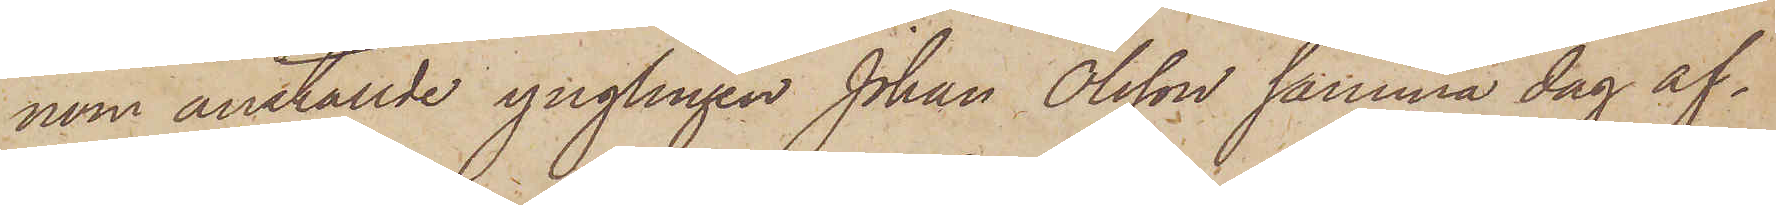nom anställde ynglingen Johan Olsson samma dag af¬
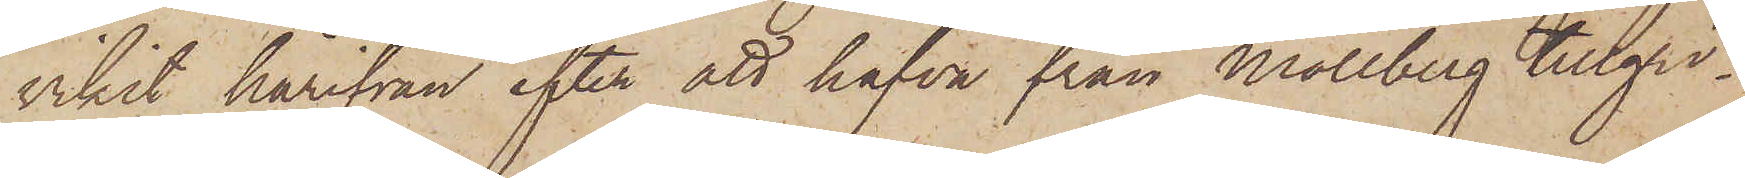vikit härifrån efter att hafva från Mollberg tillgri¬
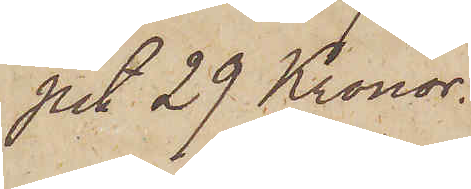pit 29 Kronor.
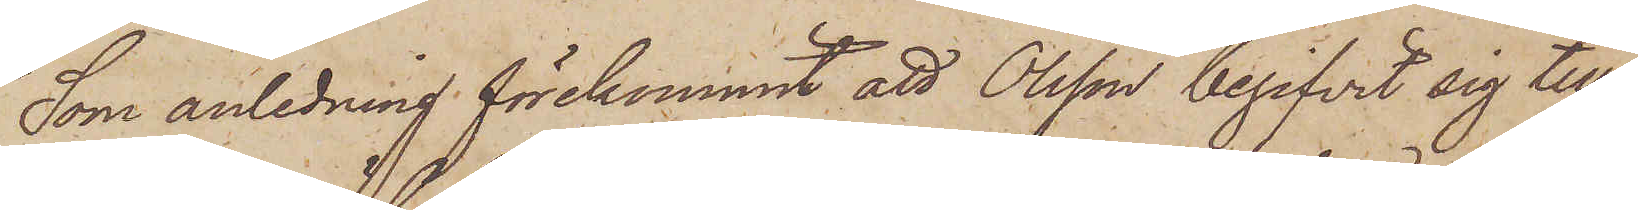Som anledning förekommit, att Olsson begifvit sig till
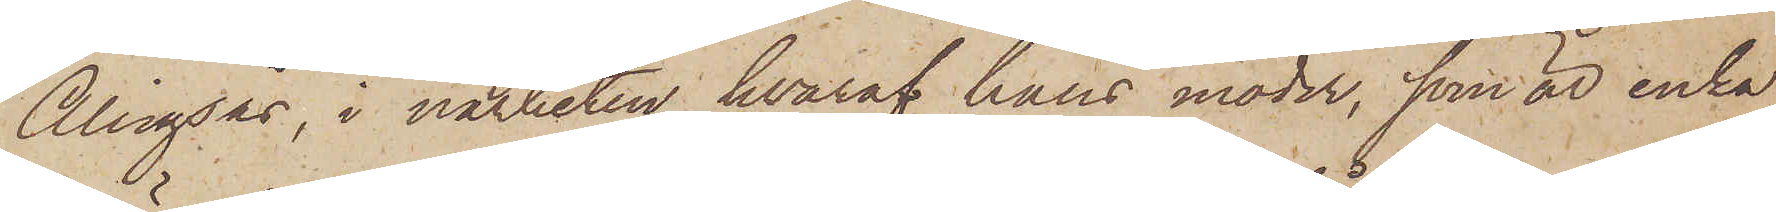Alingsås, i närheten hvaraf hans moder, som är enka,
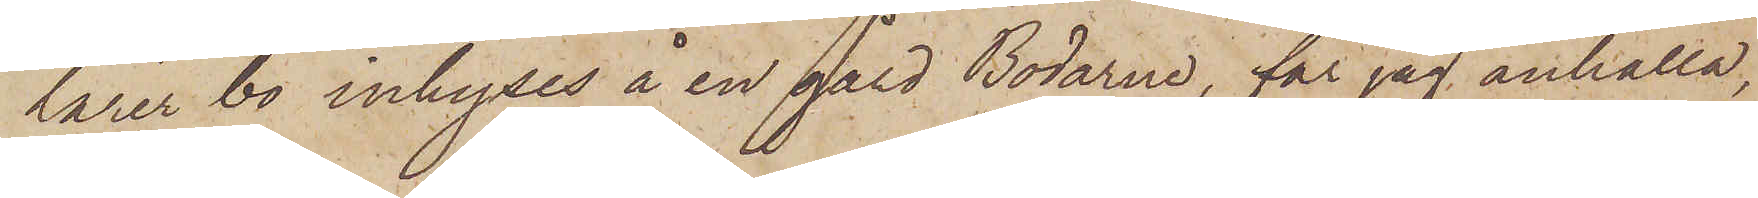lärer bo inhyses å en gård Bodarne, får jag anhålla,
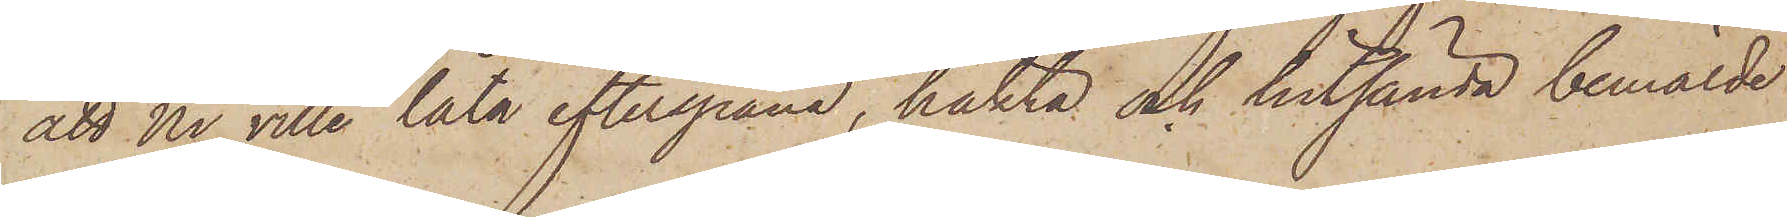att Ni ville låta efterspana, häkta och hitsända bemälde
